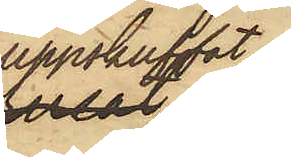uppskuffat
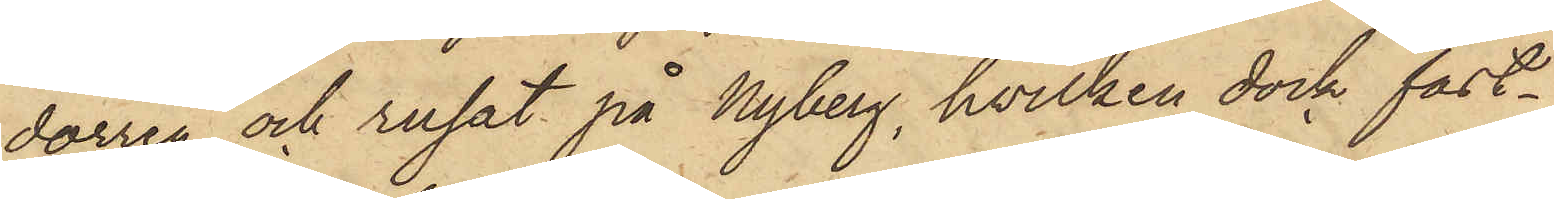dörren och rusat på Nyberg, hvilken dock fast¬
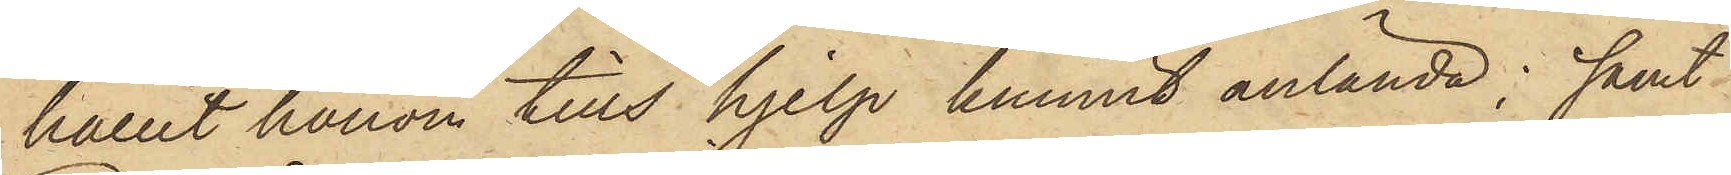hållit honom tills hjelp hunnit anlända; samt
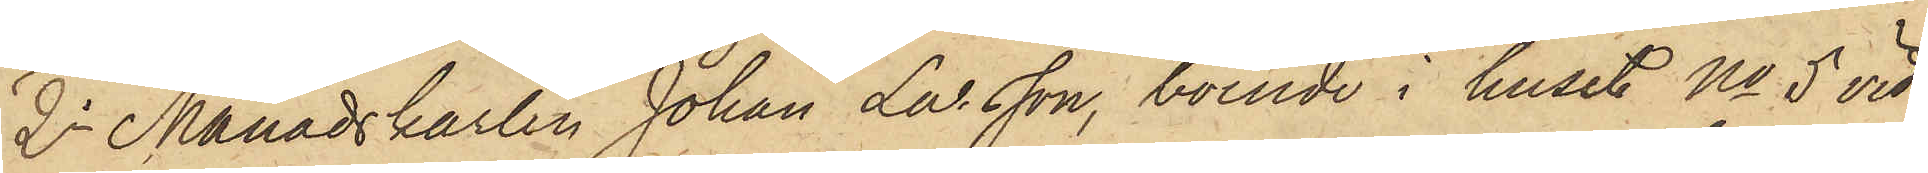2o Månadskarlen Johan Larsson, boende i huset No 5 vid
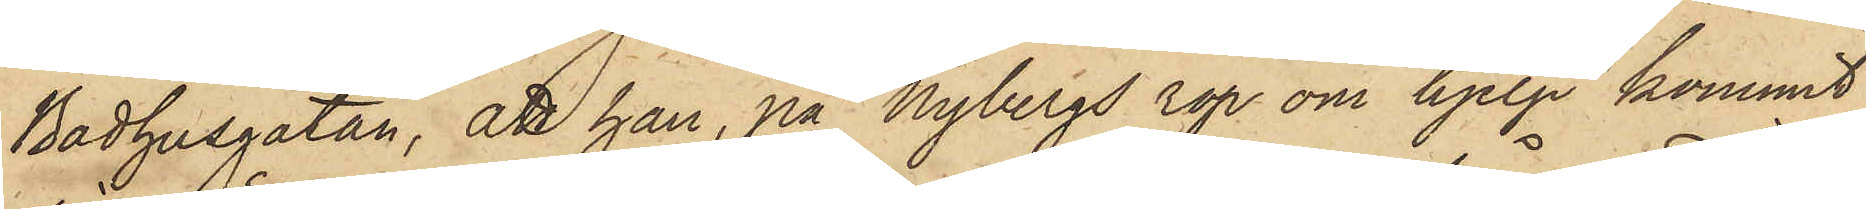Badhusgatan, att han, på Nybergs rop om hjelp kommit
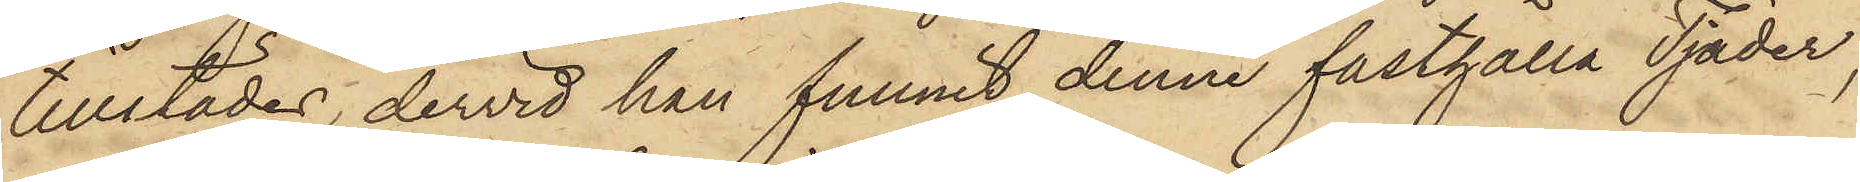tillstädes, dervid han funnit denne fasthållaTjäder,
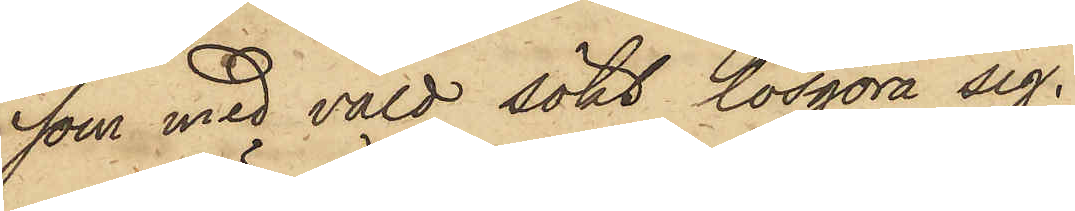som med våld sökt lösgöra sig.
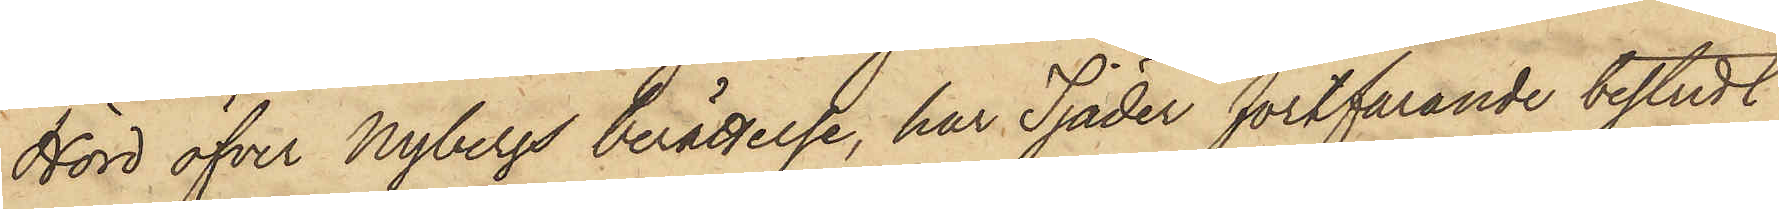Hörd öfver Nybergs berättelse, har Tjäder fortfarande bestridt
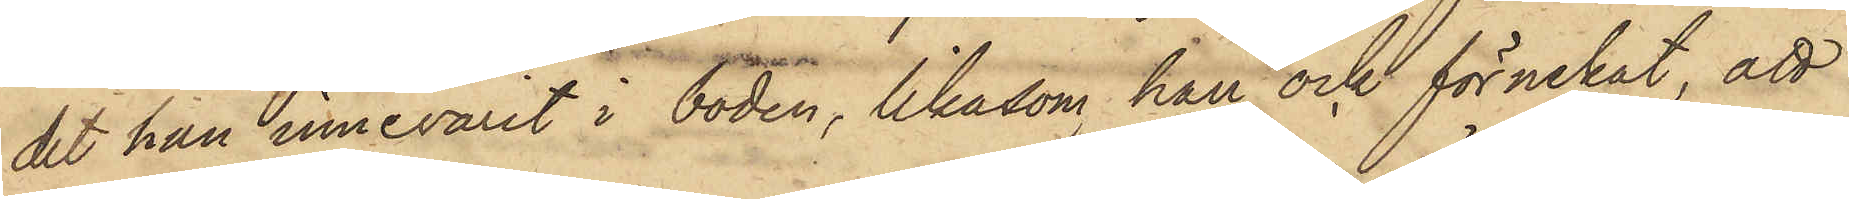det han innevarit i boden, likasom han ock förnekat, att
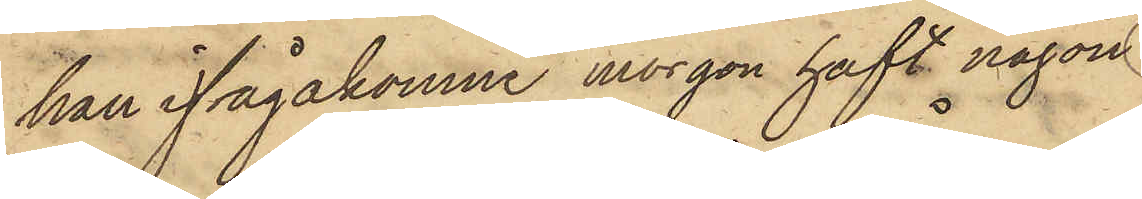han ifrågakomne morgon haft någon
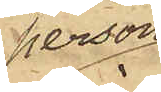person
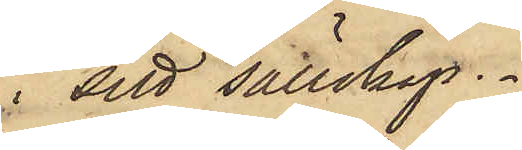i sitt sällskap.
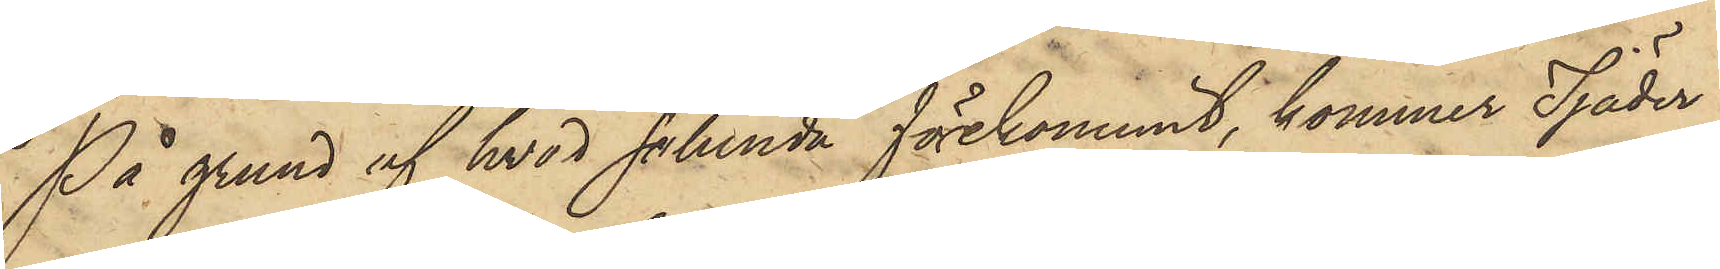På grund af hvad sålunda förekommit, kommer Tjäder,
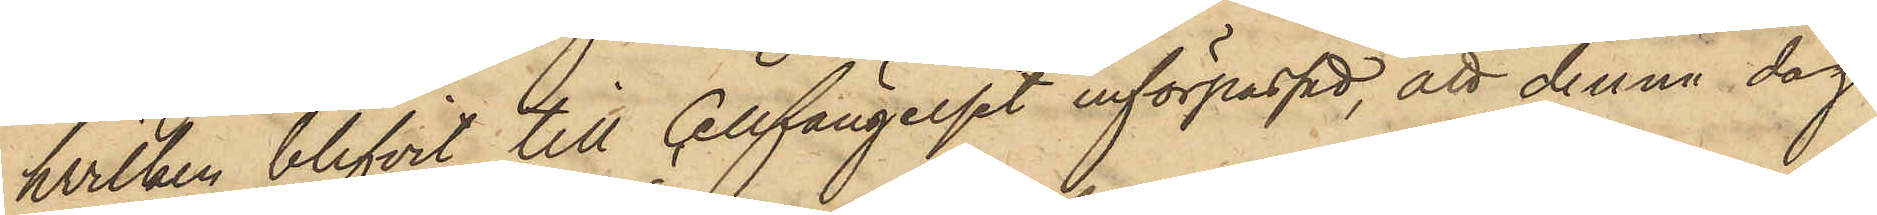hvilken blifvit till Cellfängelset införpassad, att denna dag
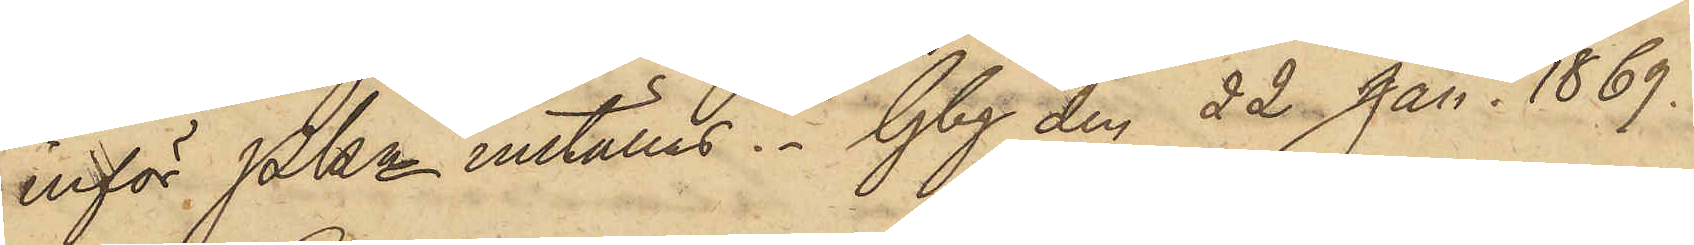inför PKn inställas. Gbg den 22 Jan. 1869.
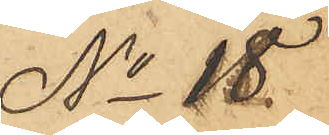No 18.
